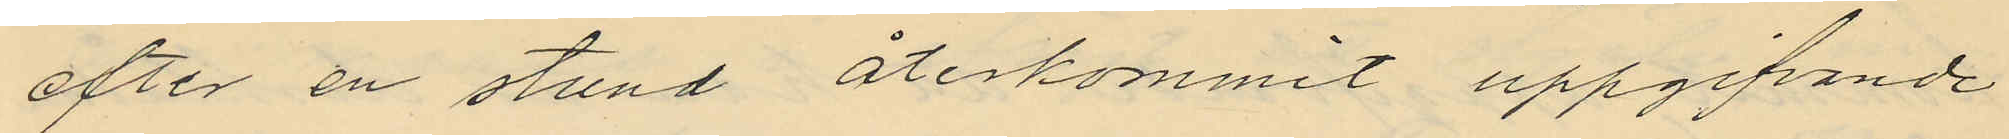efter en stund återkommit uppgifvande
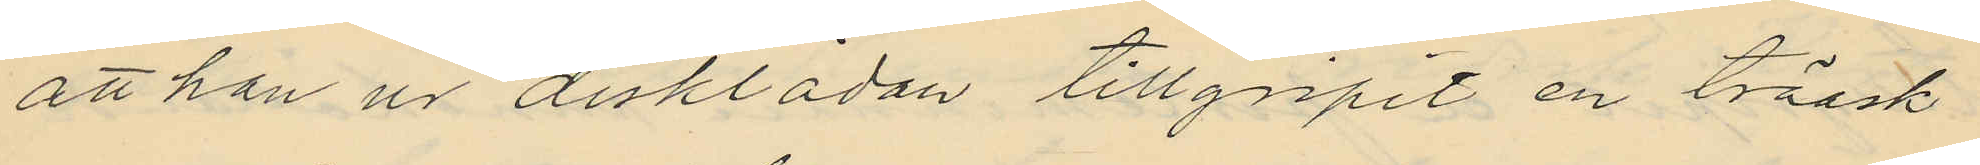att han ur disklådan tillgripit en träask
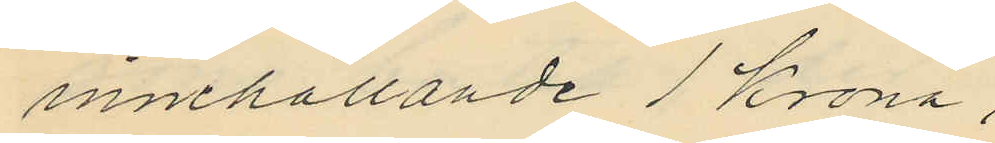innehållande 1 krona;
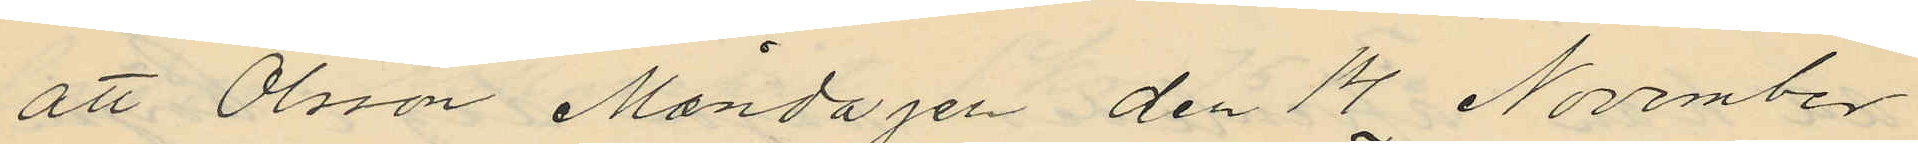att Olsson Måndagen den 14 November
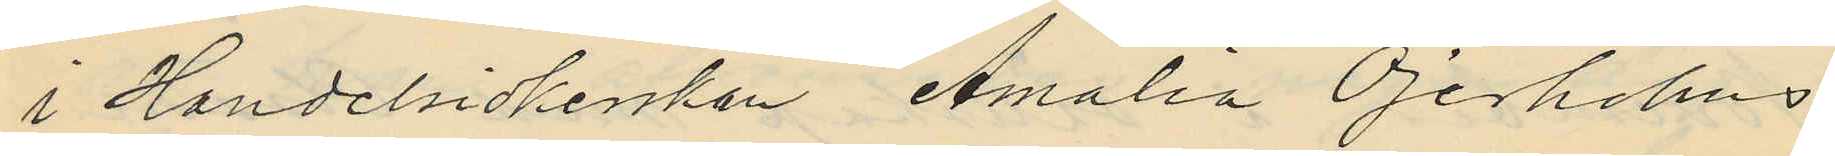i Handelsidkerskan Amalia Öjerholms
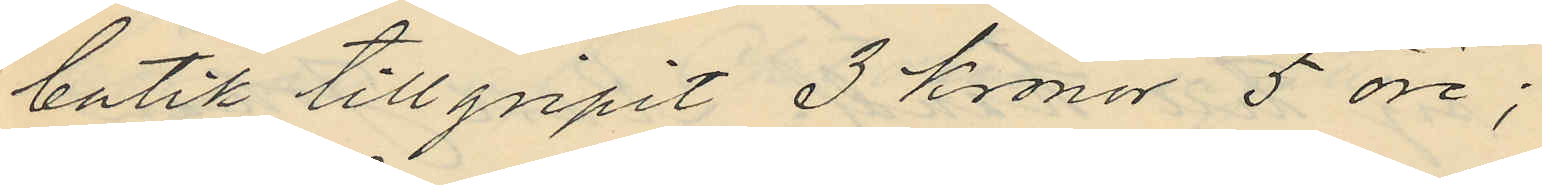butik tillgripit 3 Kronor 5 öre;
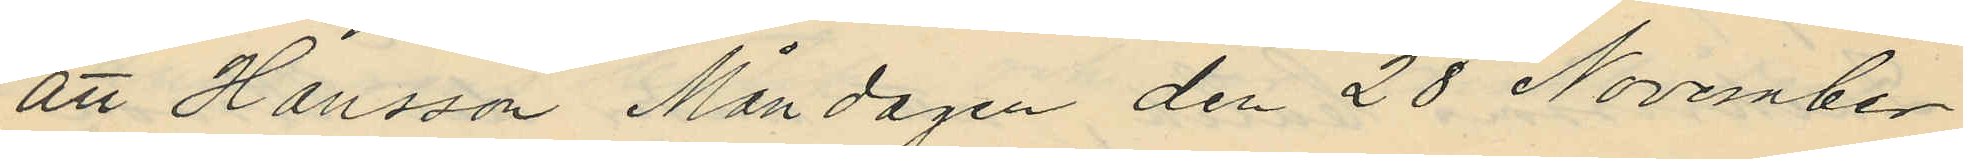att Hansson Måndagen den 28 November
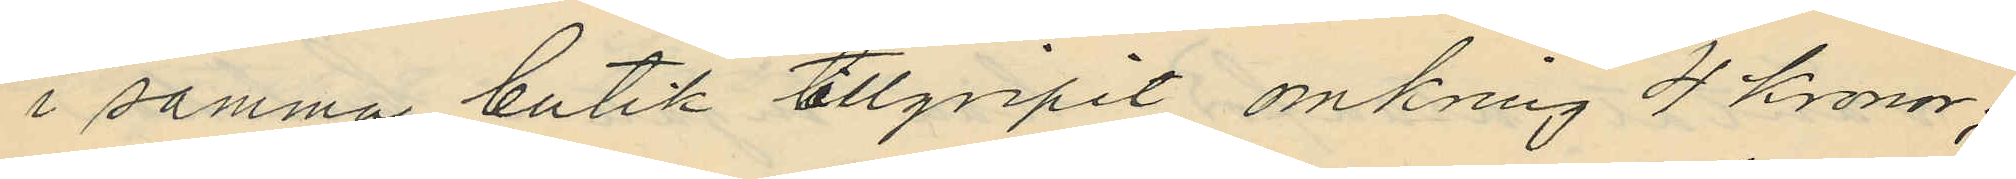i samma butik tillgripit omkring 4 kronor;
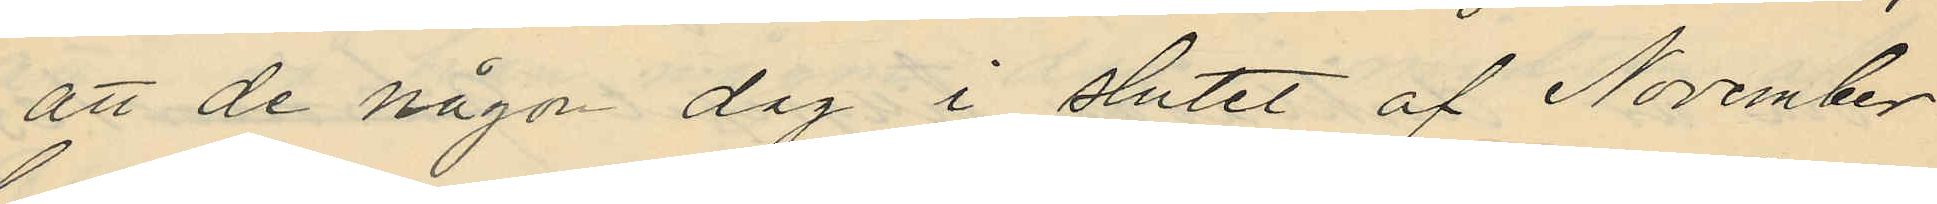att de någon dag i slutet af November
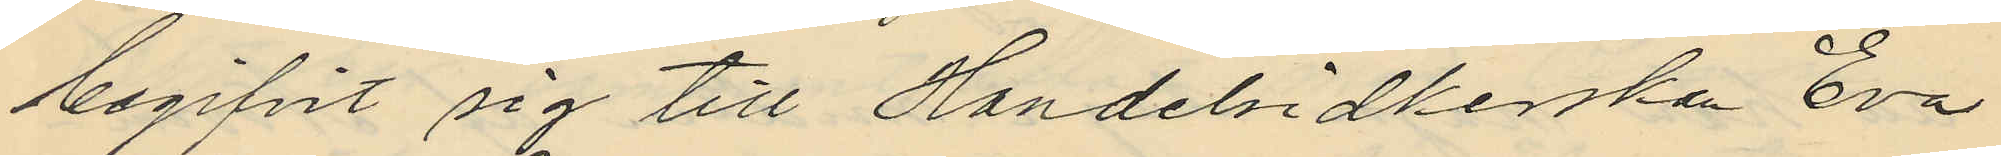begifvit sig till Handelsidkerskan Eva
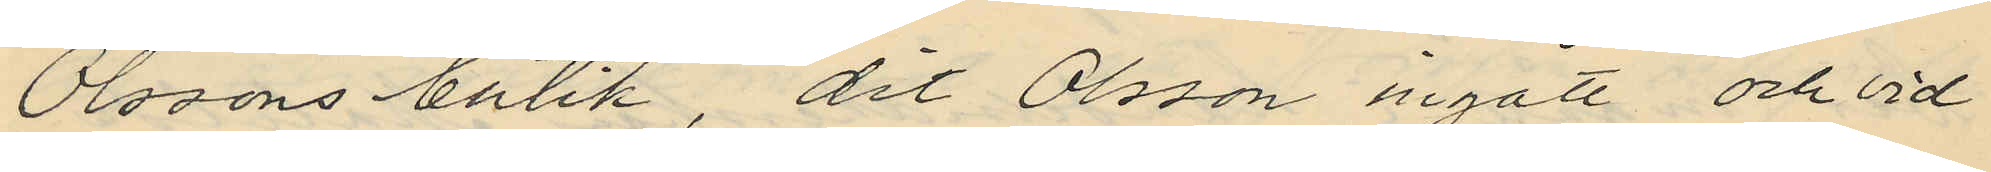Olssons butik, dit Olsson ingått och vid
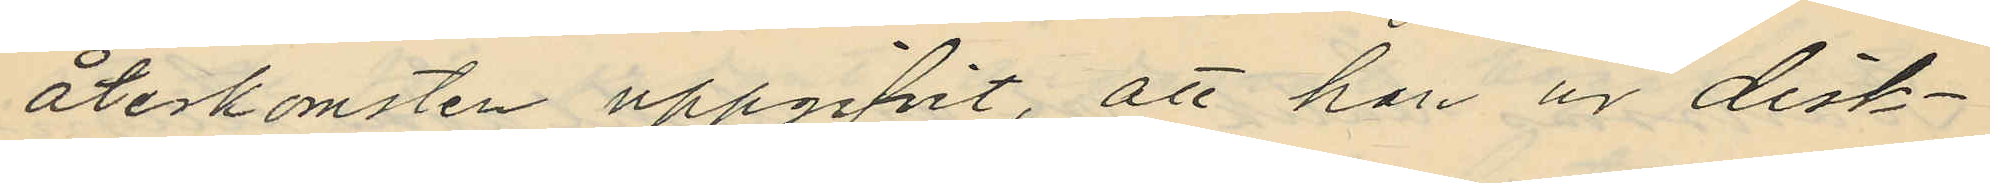återkomsten uppgifvit, att han ur disk¬
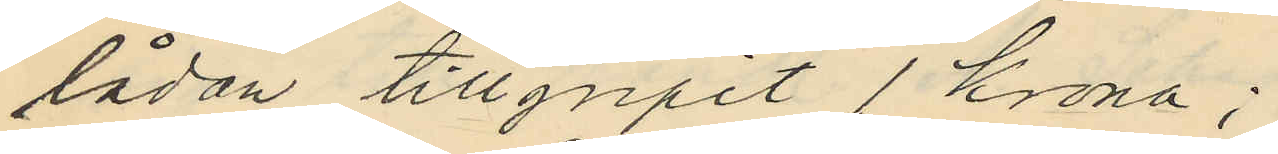lådan tillgripit 1 krona;
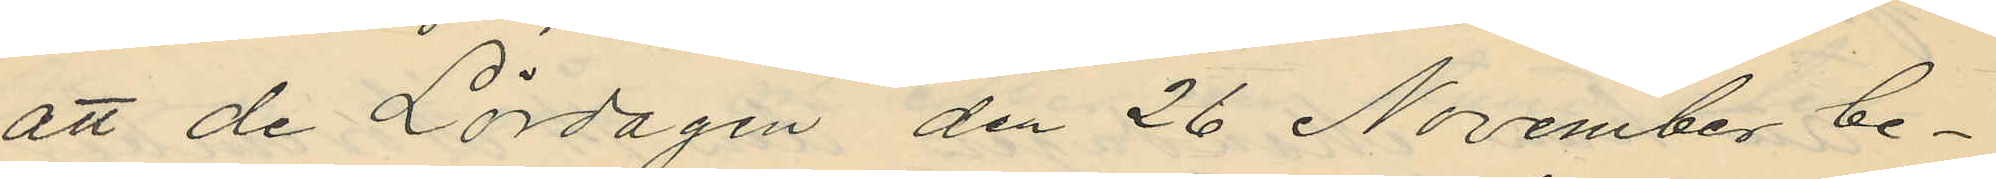att de Lördagen den 26 November be¬
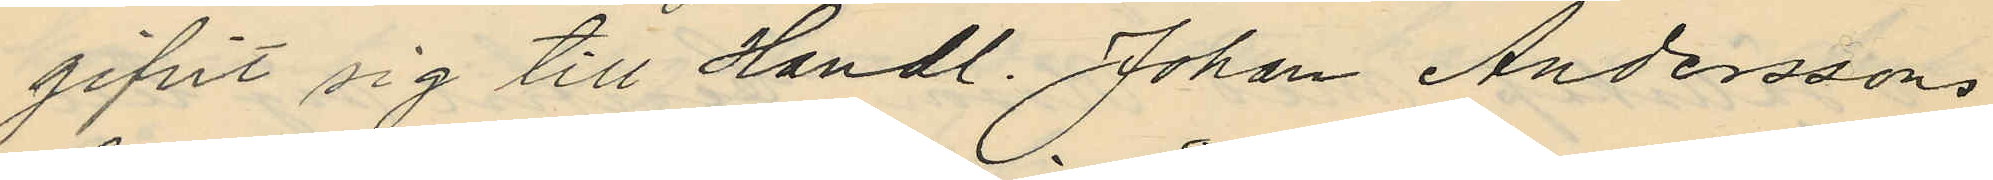gifvit sig till Handl. Johan Anderssons
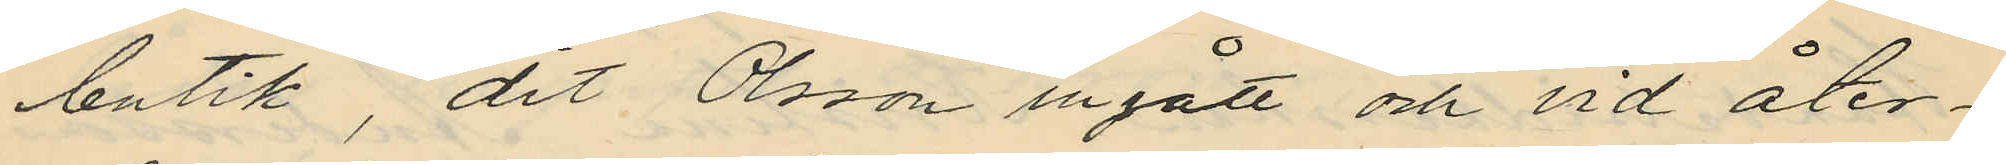butik, dit Olsson ingått och vid åter¬
